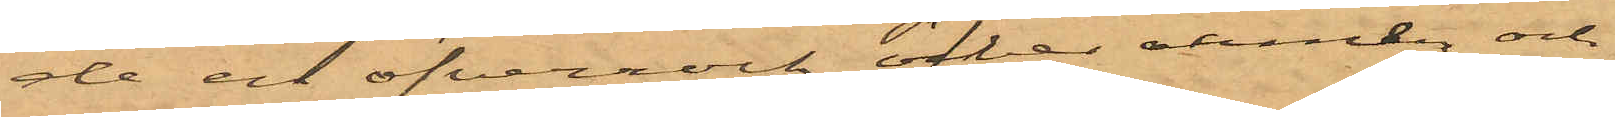de en öfverrock öfver armen och
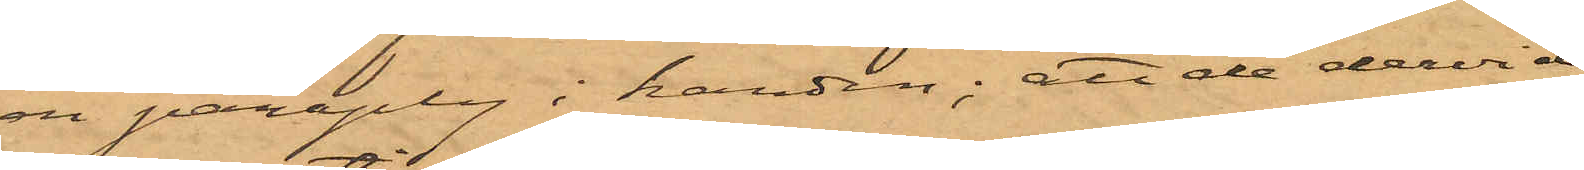en paraply i handen; att de dervid
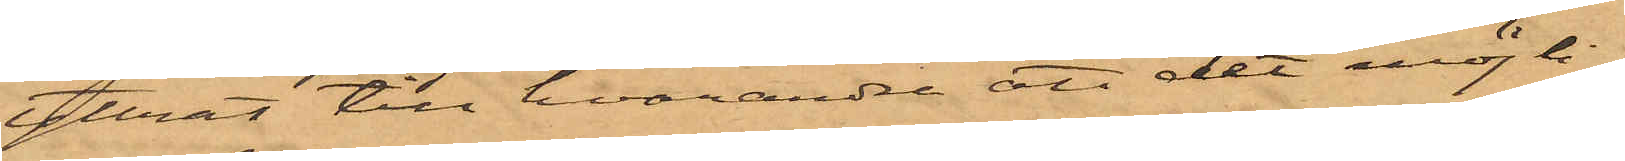yttrat till hvarandra att det möjli¬
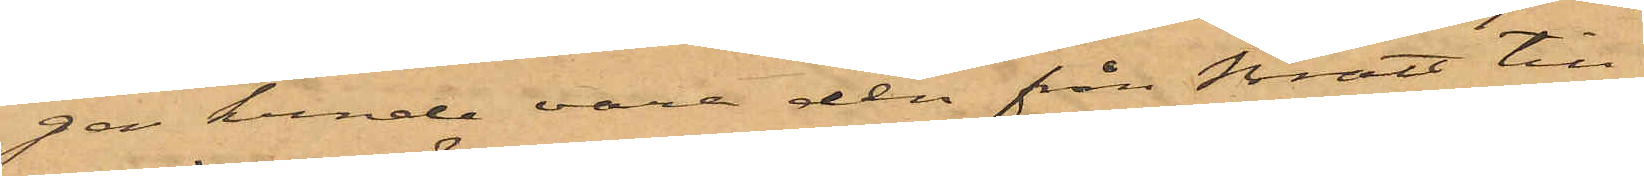gen kunde vara den från Bratt till¬
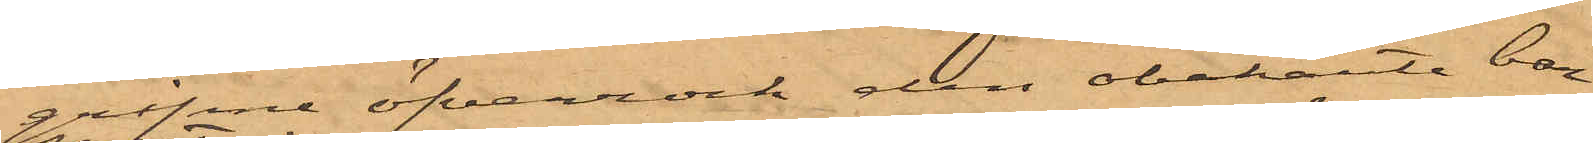gripne öfverrock den obekante bar
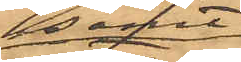samt
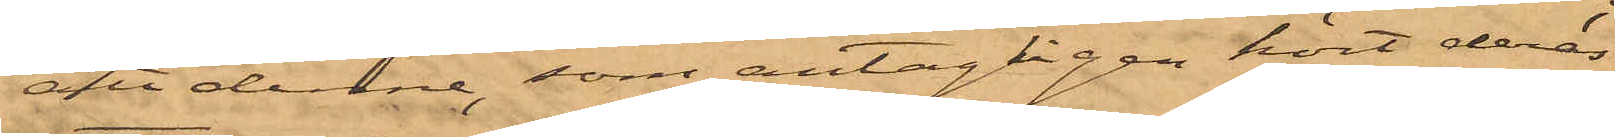att denne, som antagligen hört deras
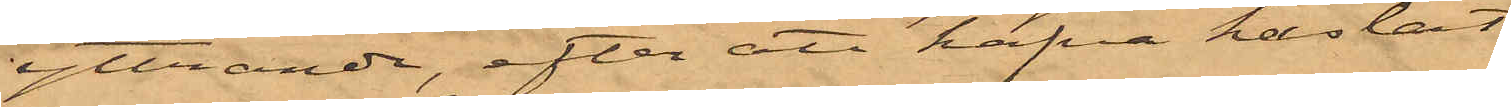yttrande, efter att hafva kastat
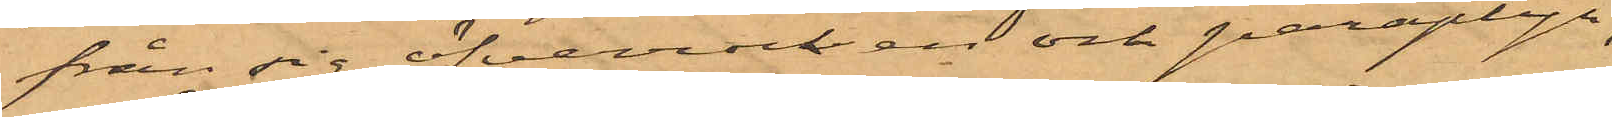från sig öfverrocken och paraplyn,
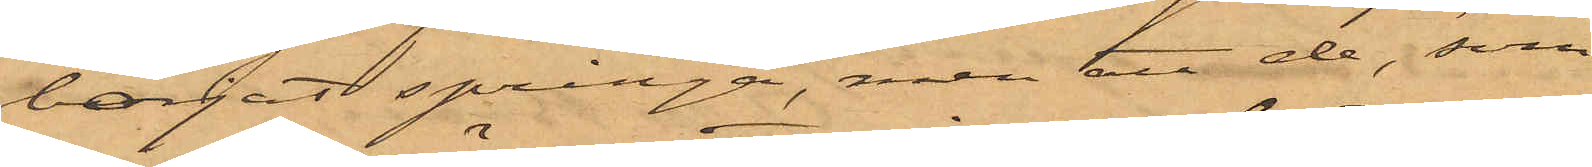börjat springa, men att de, som
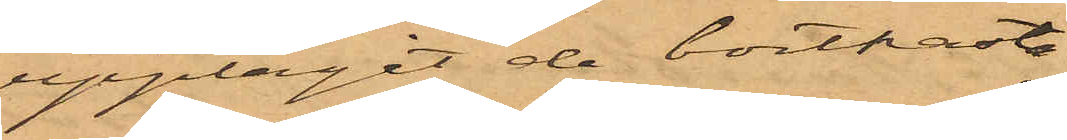upptagit de bortkasta¬
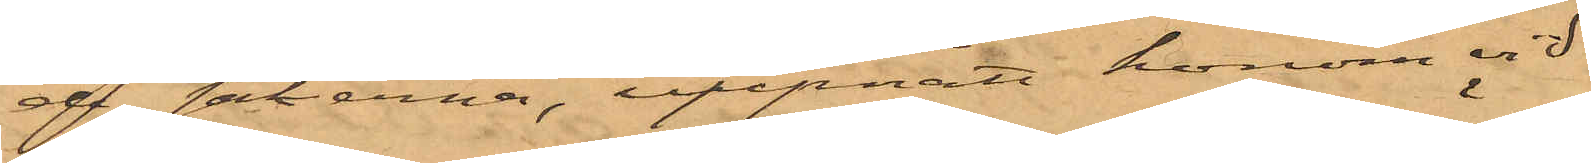de sakerna, uppnått honom vid
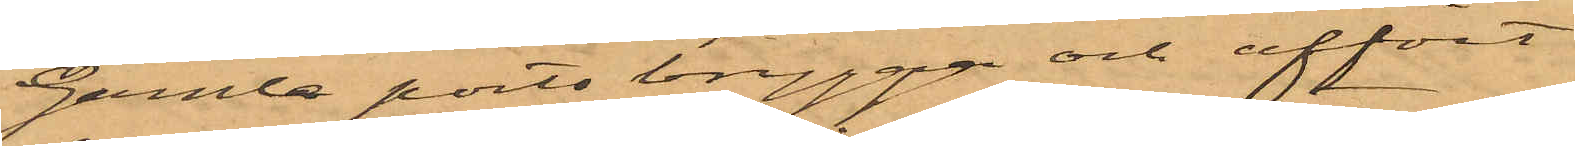Gamle ports brygga och affört
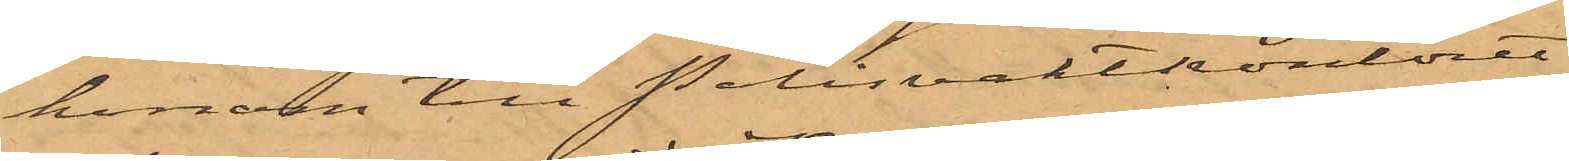honom till Polisvaktkontoret
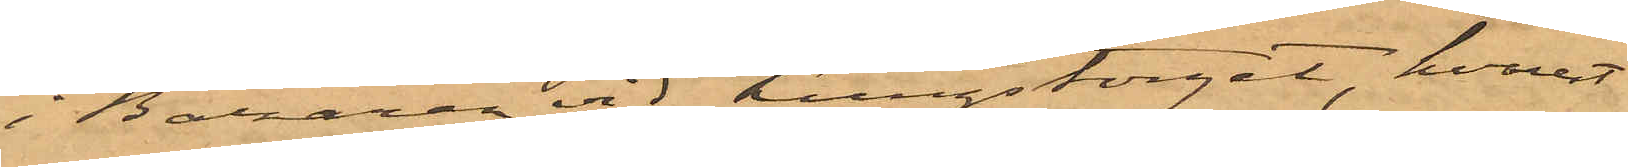i Bazaren vid Kungstorget, hvarest
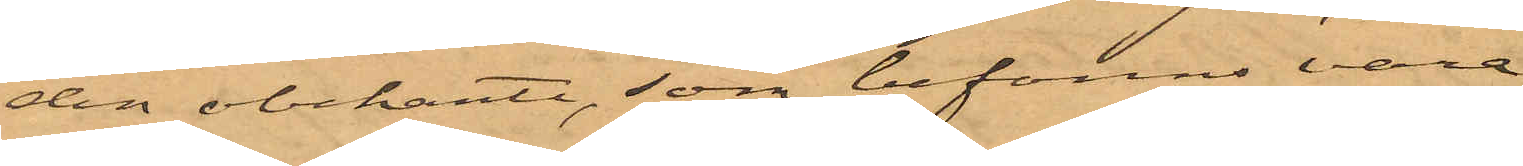den obekante, som befanns vara
